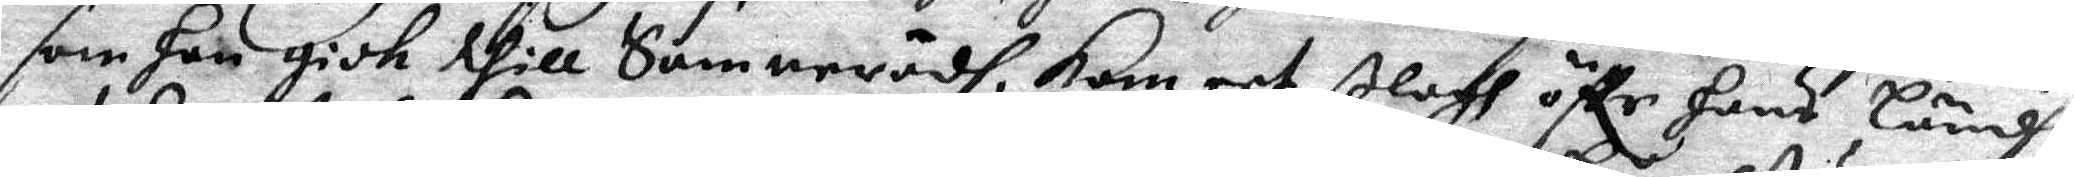som han gick till Samnerådh, kom eet ßlagh öffr hans Ländh,
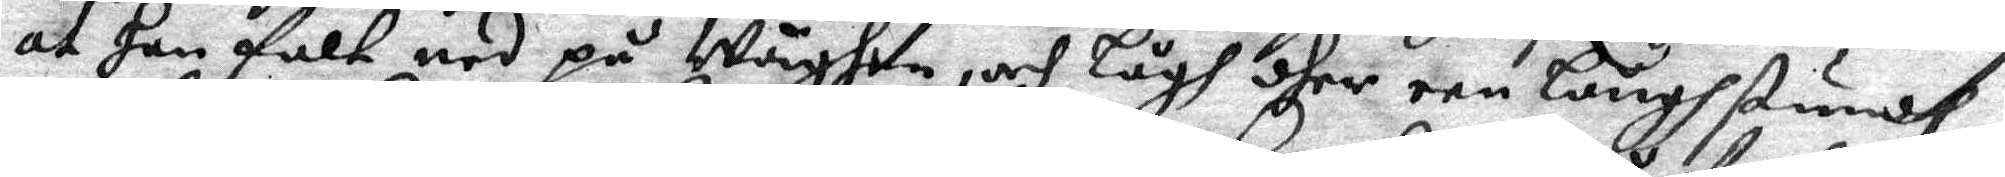at han falt ned på Wäghen, och lågh dher een långh stundh,
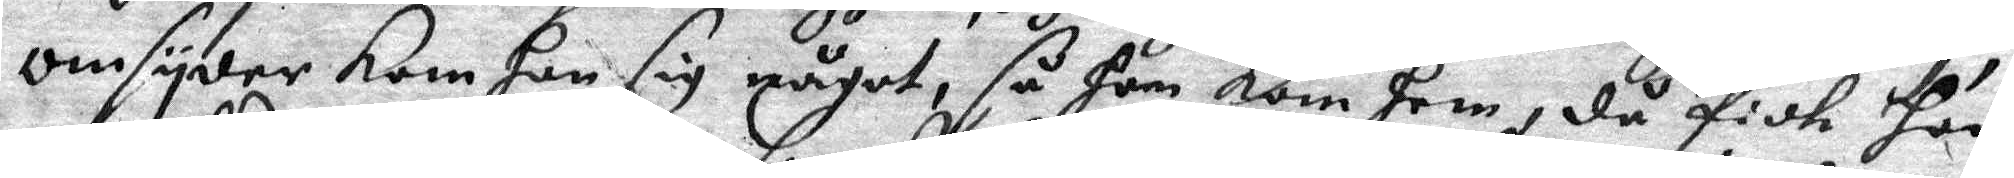omsyder kom han sig något, så han kom hem, då fick han
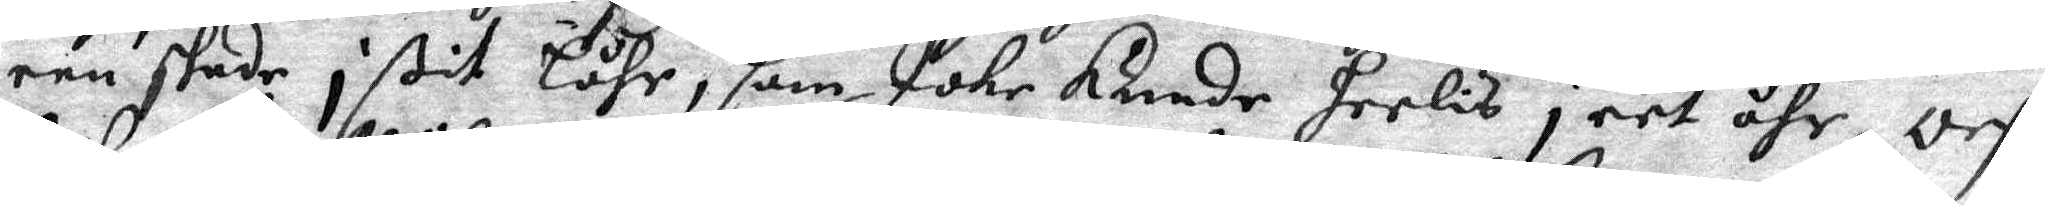een skade i ßit Låhr, som Icke kunde heelis i eet åhr,och
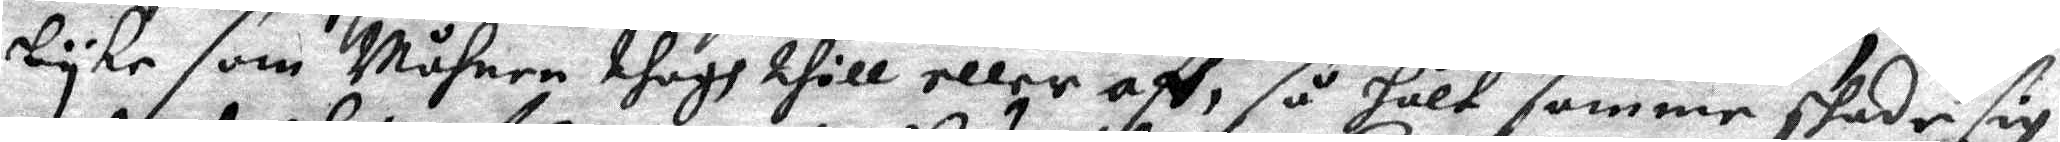lyke som Måhnen thagh till eller aff, så hålt samme skade sig
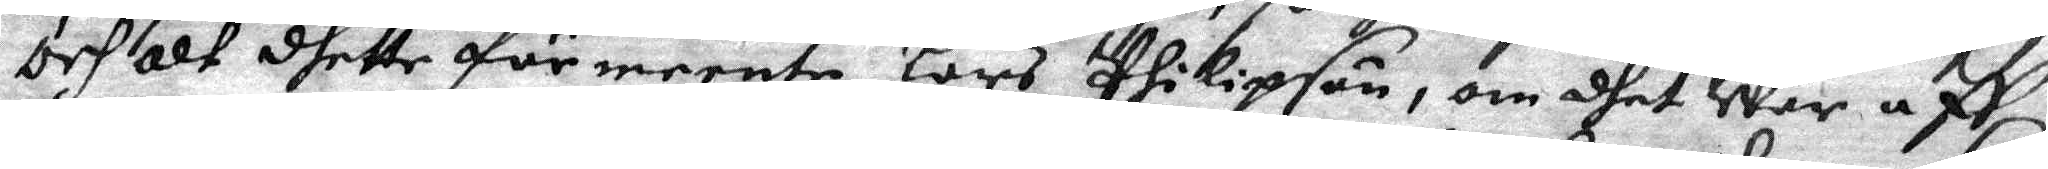och alf dhette förmeente Lars Philipson, om dhet War aff
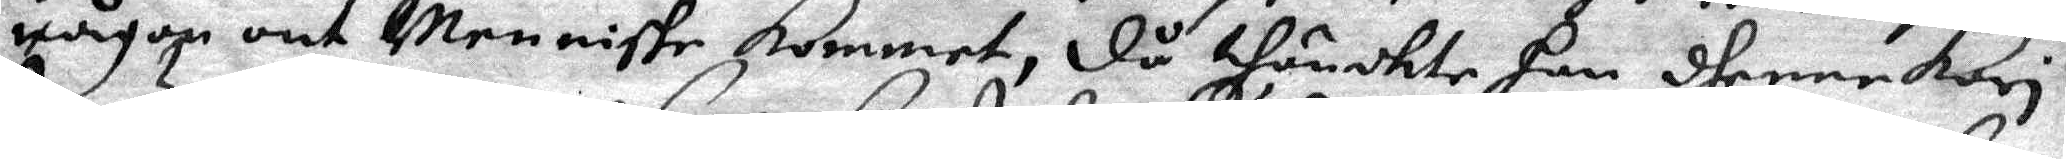någon ont Menniske kommet, då thänckte han dhenne Kari
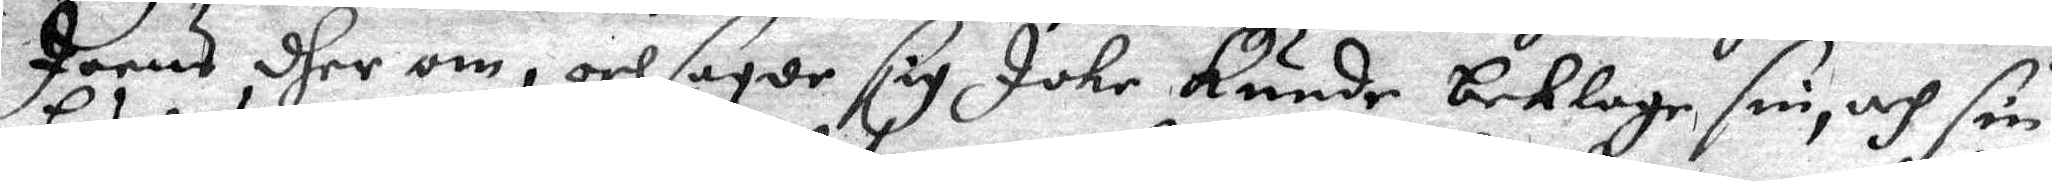Joens dher om, och sagde sig Icke Kunde beklage sin, och sin
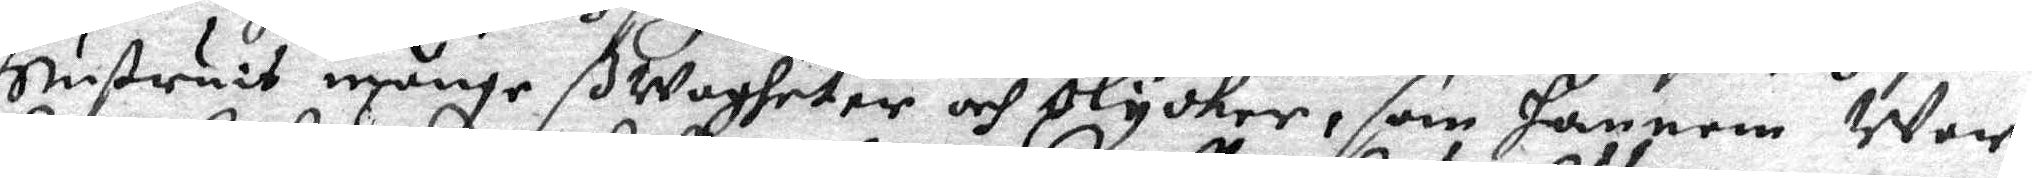Hustruis månge ßwagheter och olycker, som hannem war
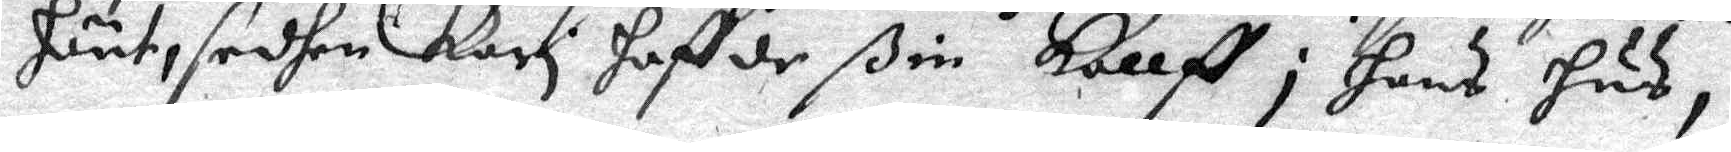hänt, sedhan Kari haffde ßin kallff i hans hus,
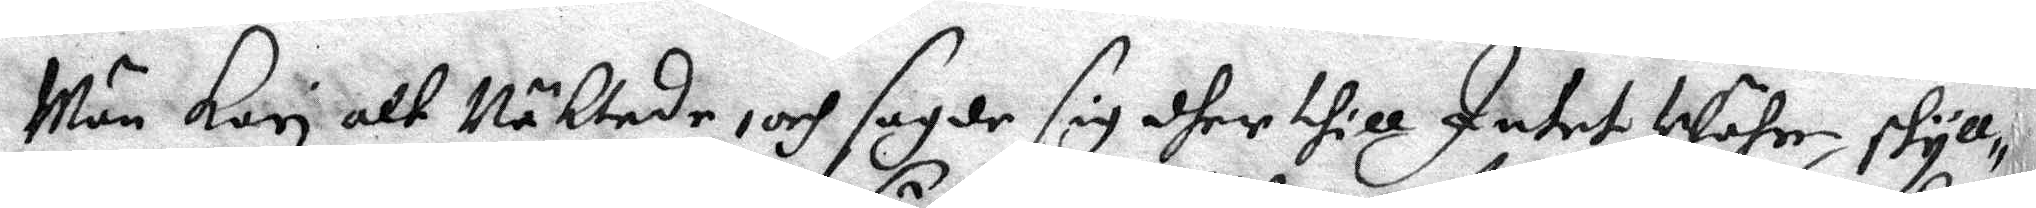Män Kari alt Näktade, och sagde sig dher till Intet Währe skyll¬
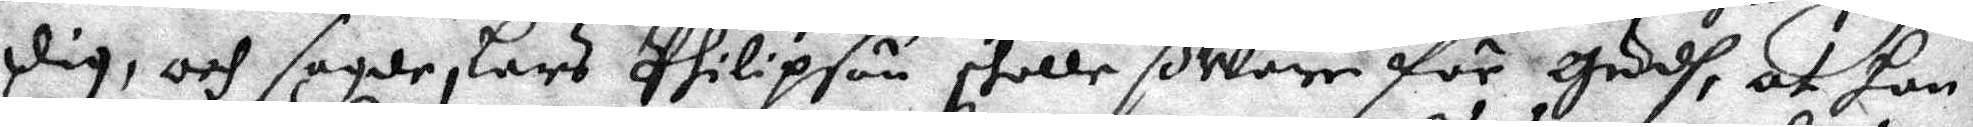dig, och sagde, Lars Philipson skolle ßWarre för Guddh, at han
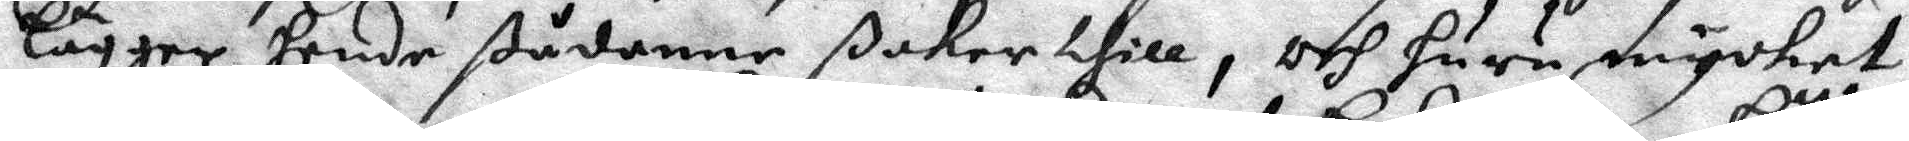lägger hende ßådanne ßaker thill, och huru mycket
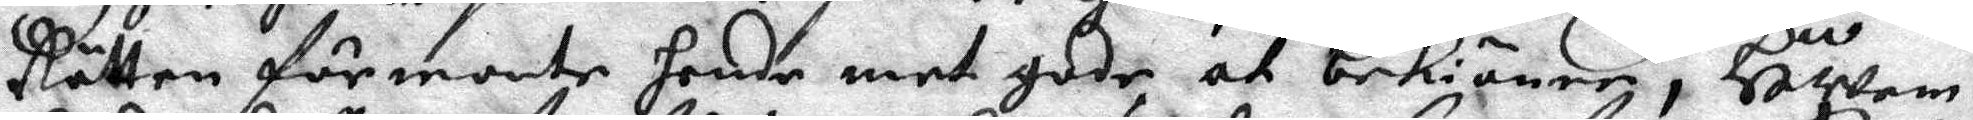Rätten förmonte hende met gode at bekiänne, HWem
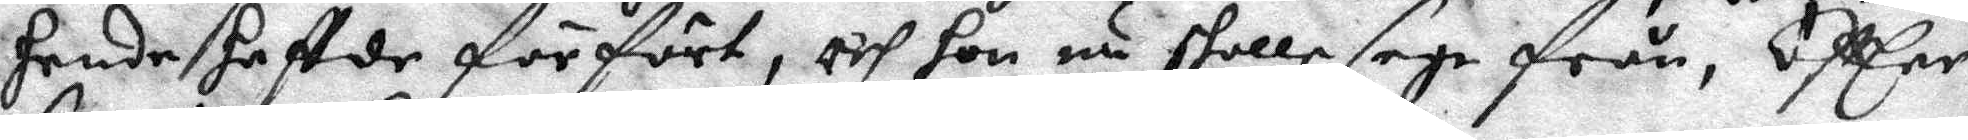hende haffde förfört, och hon nu skolle sege från, Eftter
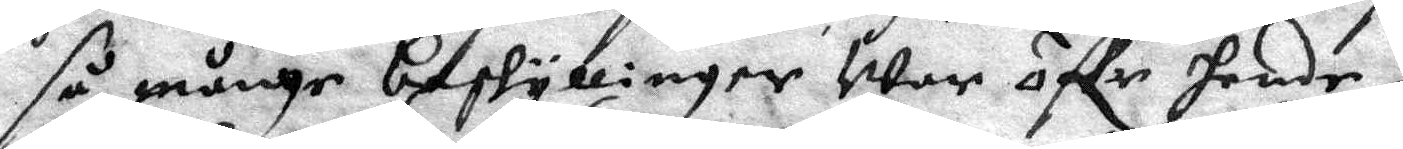så månge beskyllinger War öffr hende,
